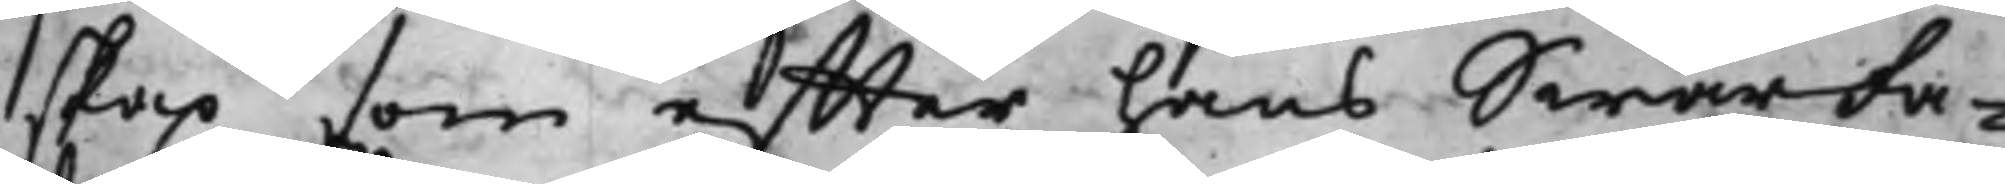skap som effter hans SwärFa¬
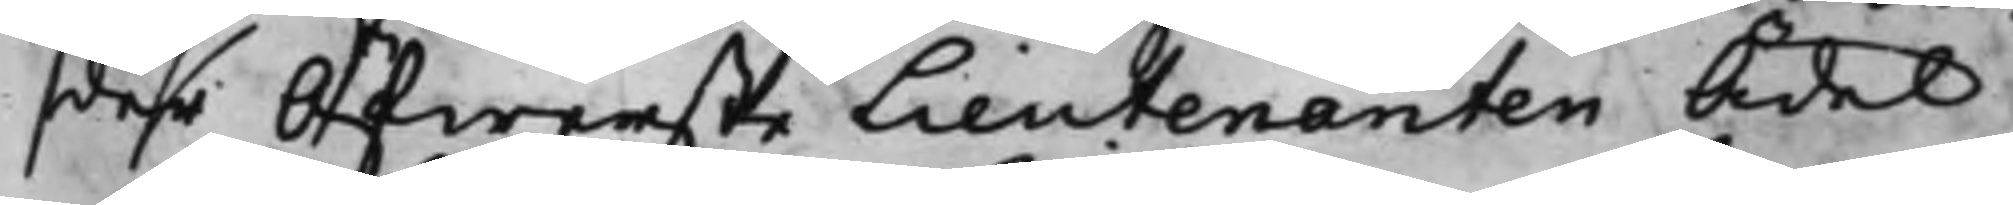der Öfwerste Lieutenanten Ädel
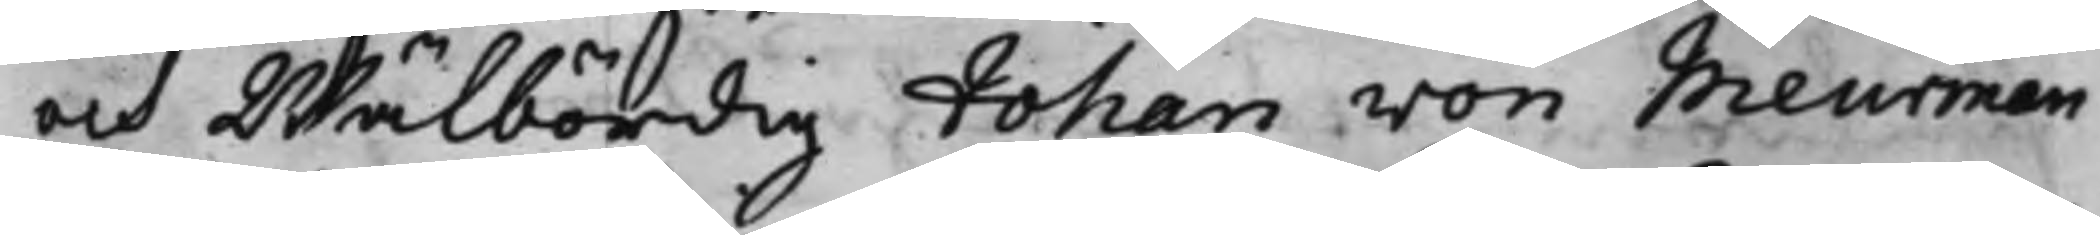och Wälbördig Johan von Meurman
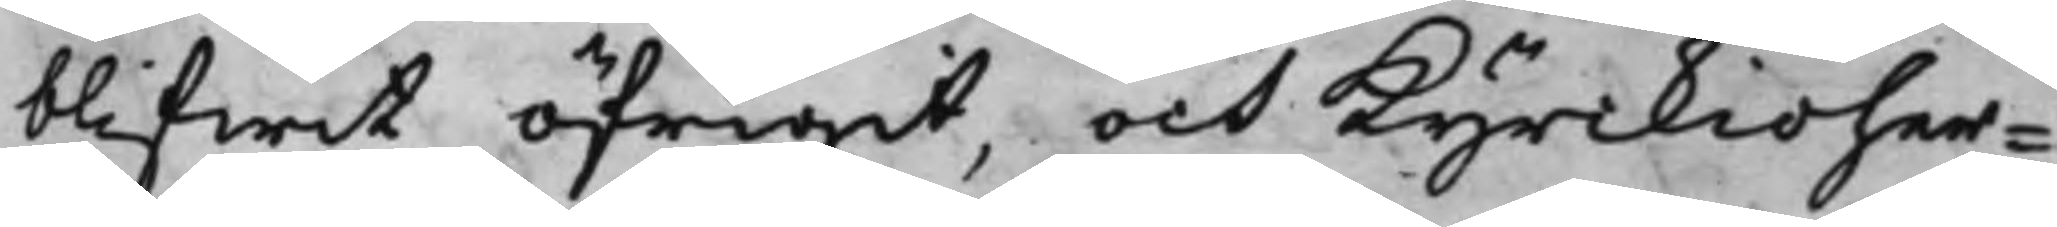blifwit öfrigit, och Kyrkioher¬
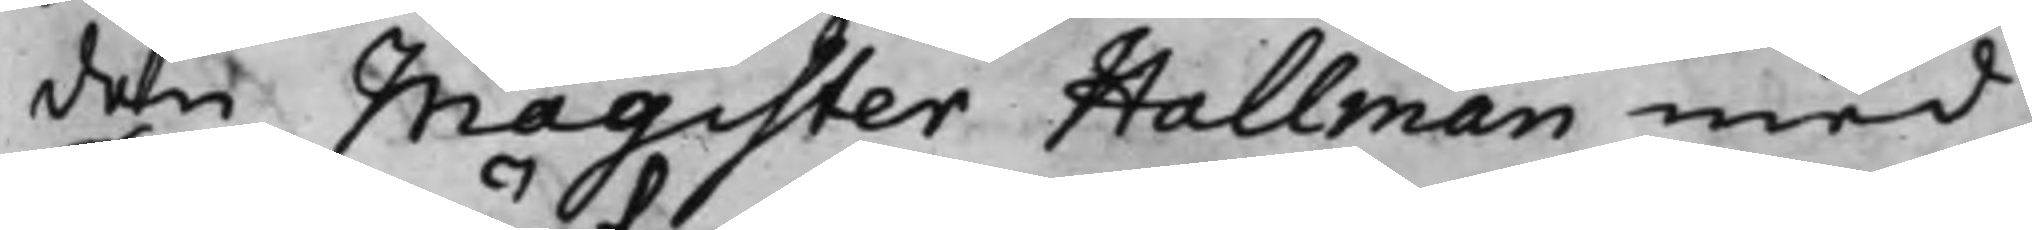den Magister Hallman med
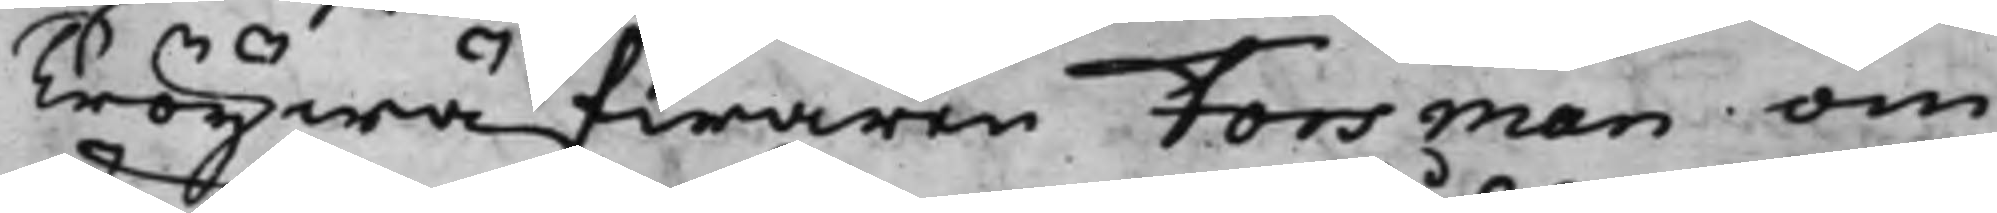Tröijwäfwaren Forsman om
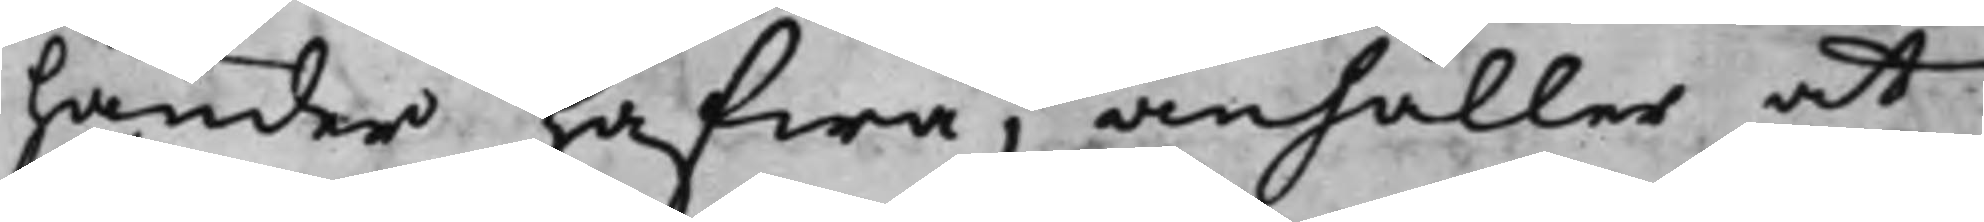händer hafwa, anhåller at
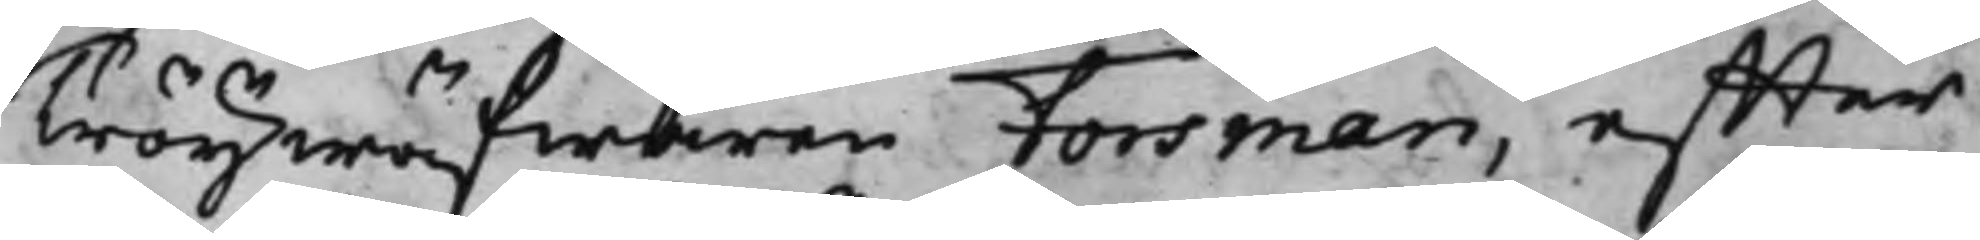Tröijwäfwaren Forsman, effter
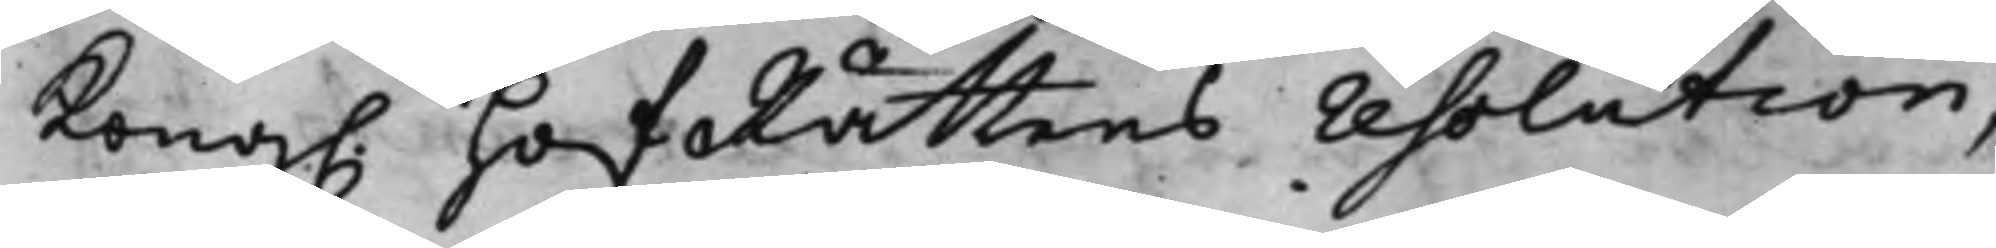Kong. HofRättens resolution,
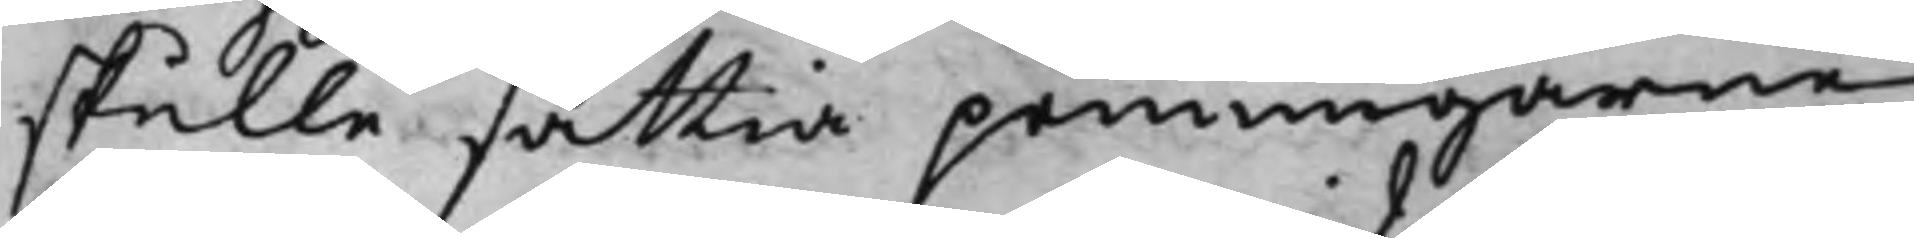skulle sättia penningarne
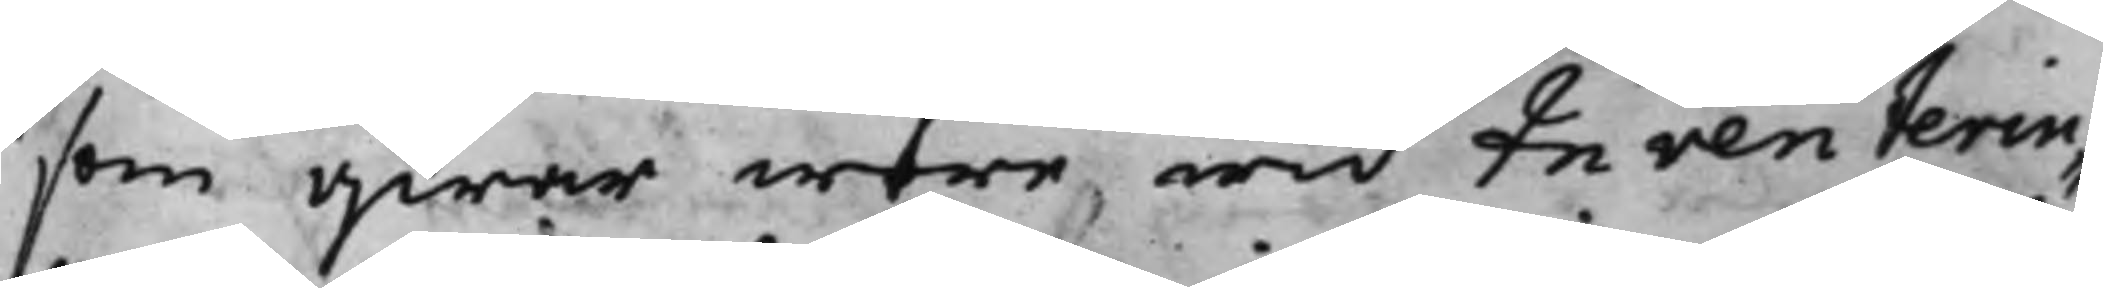som qwar wore wid Inventerin¬
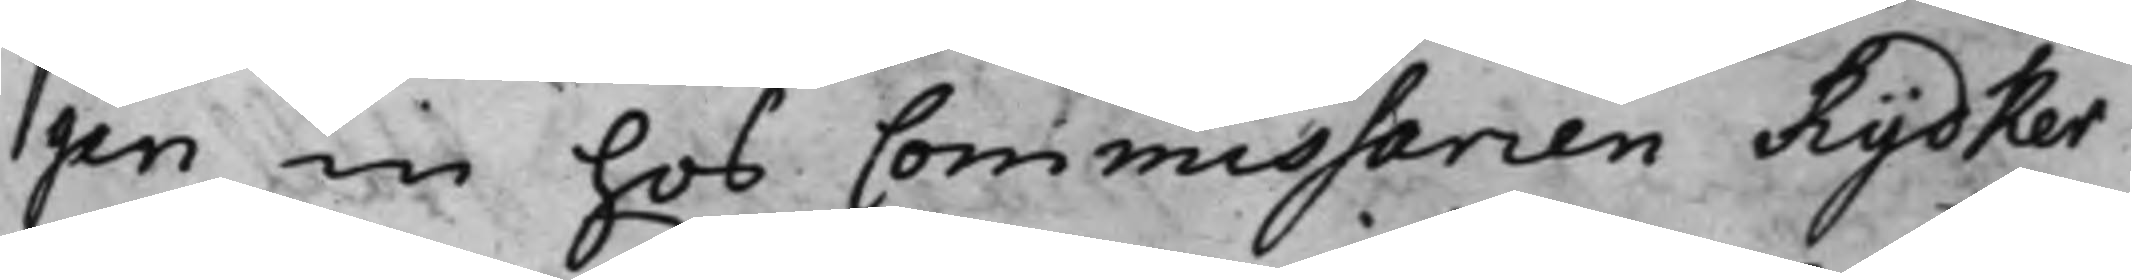gen in hos Commissarien Rydker
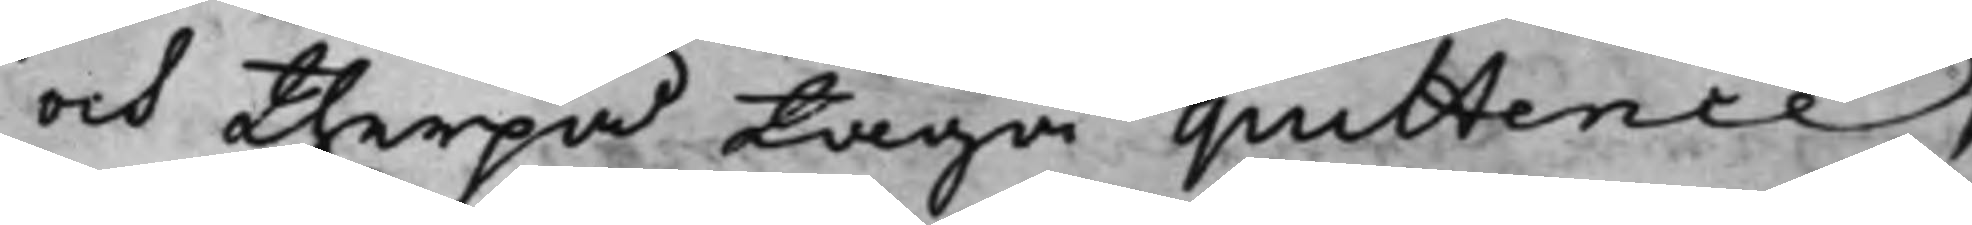och therpå taga quittence,
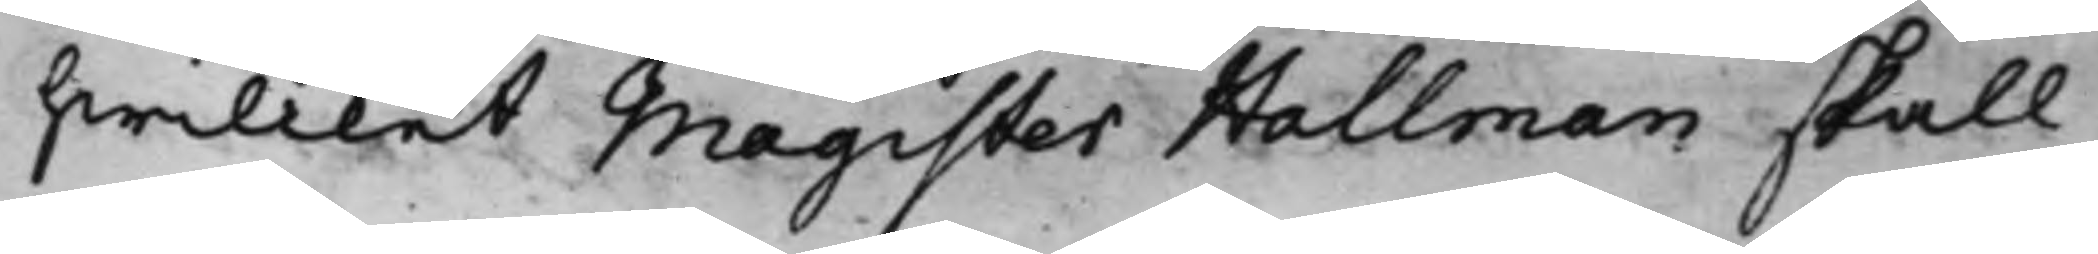hwilcket Magister Hallman skall
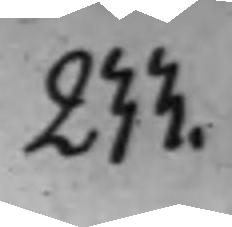233.
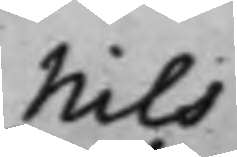Nils
